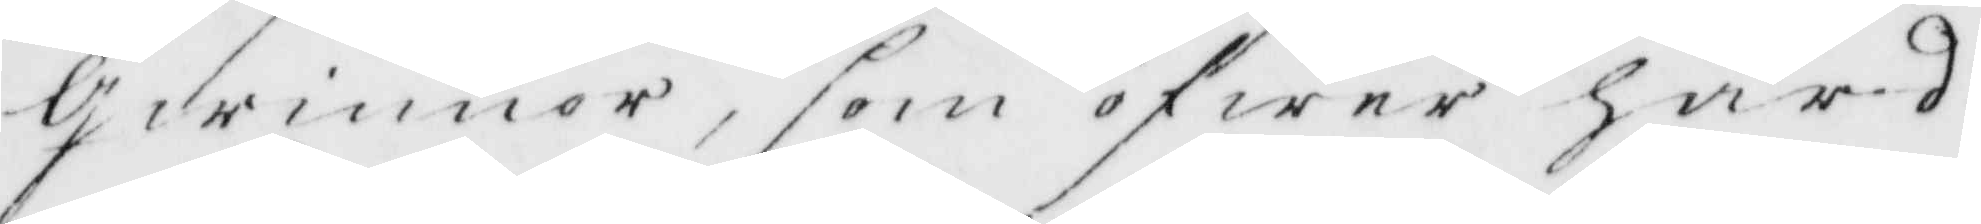Qwinnor, som öfwer hård
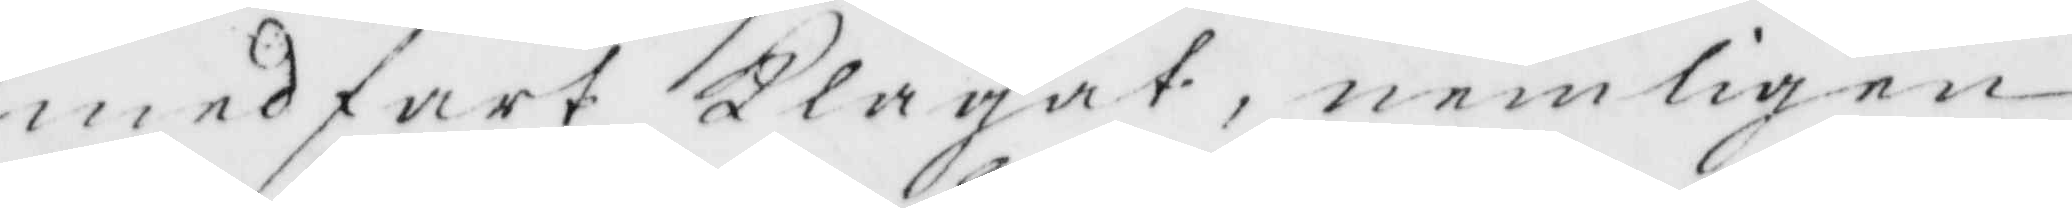medfart Klagat, nemligen
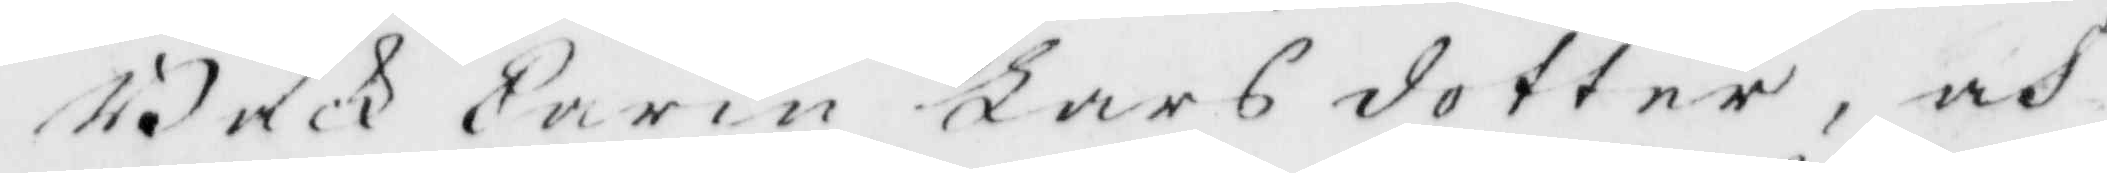Back Carin Larsdotter, och
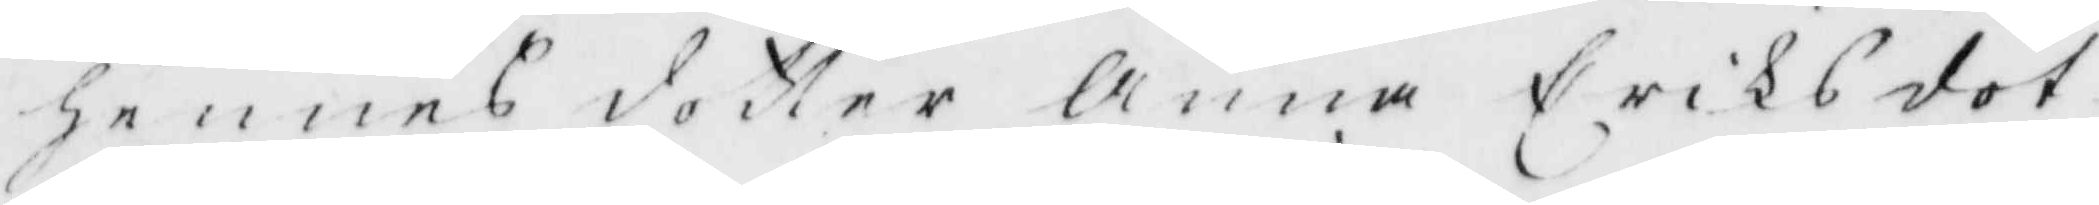hennes dotter Anna Eriksdot¬
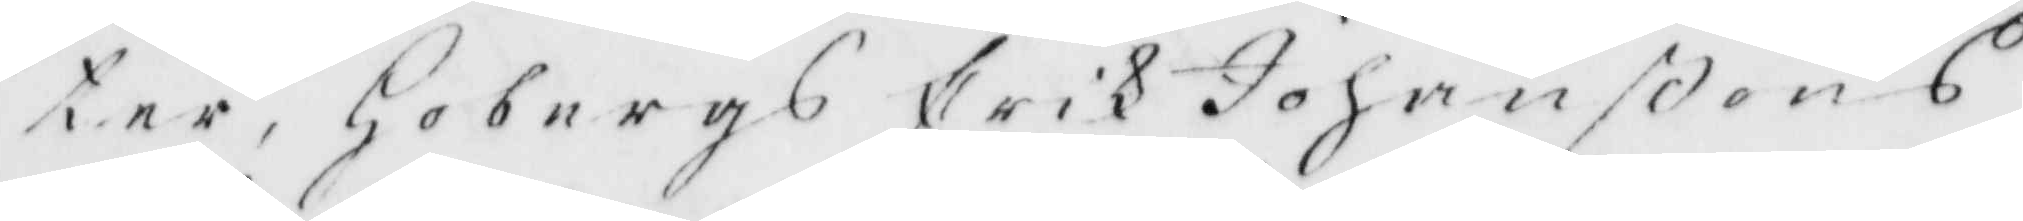ter, Hobergs Erik Johanßons
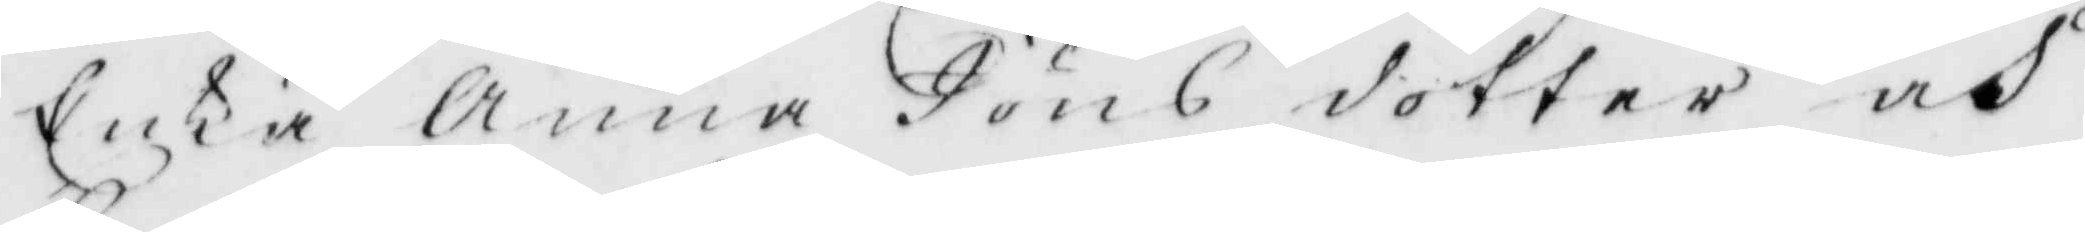Enka Anna Jöns dotter och
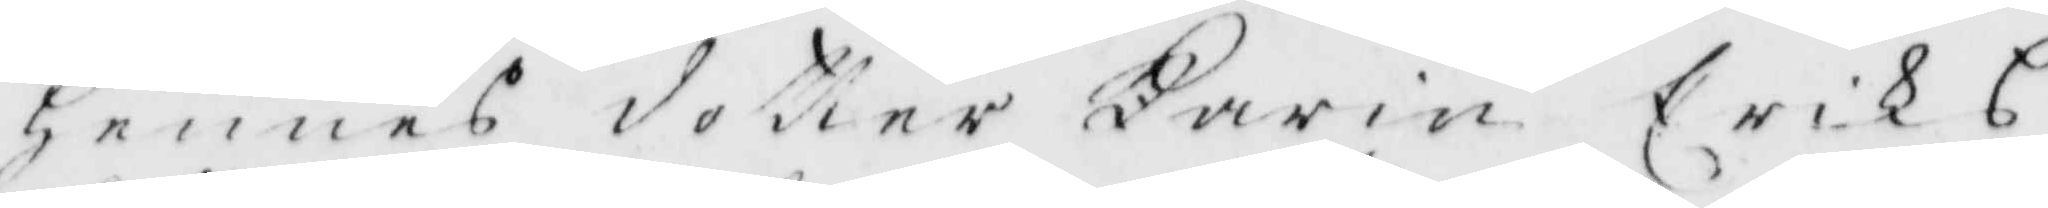Hennes dotter Karin Eriks¬
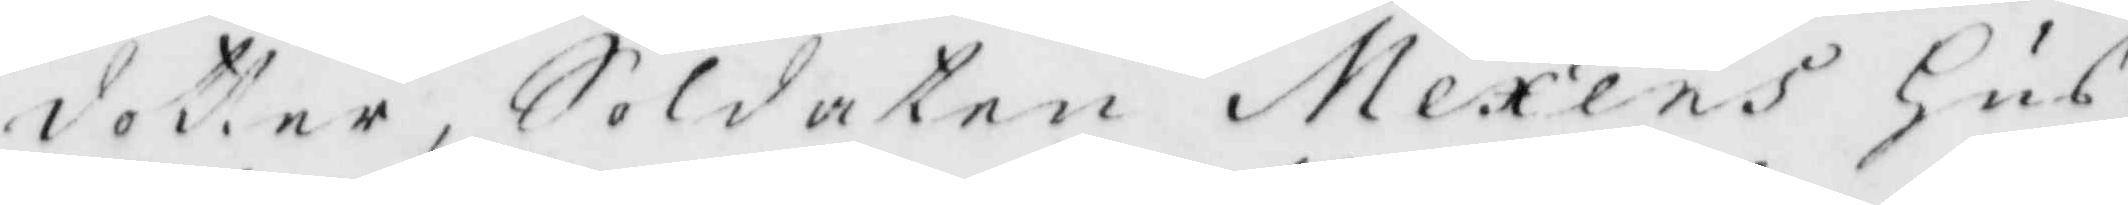dotter, Soldateb Mexens Hus¬
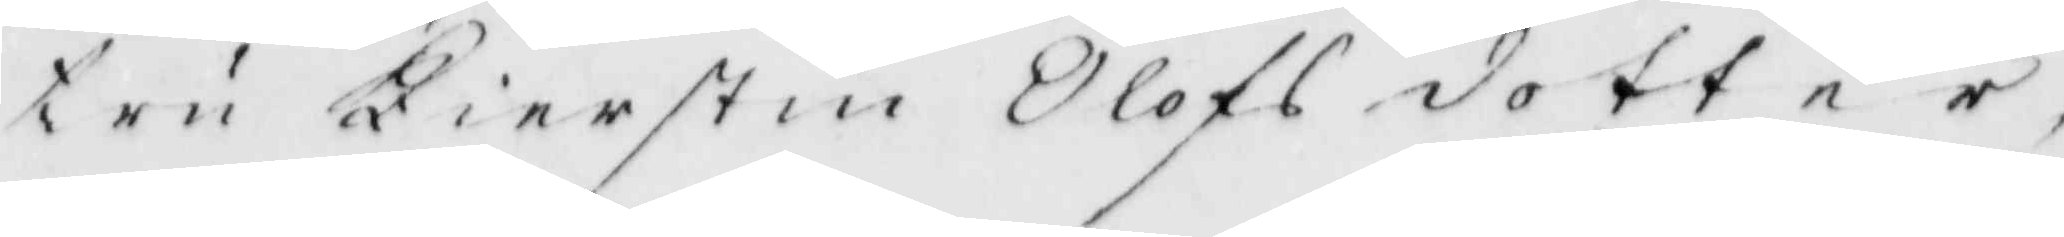tru Kierstin Olofsdotter
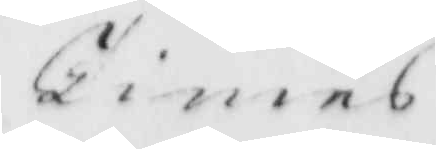Times
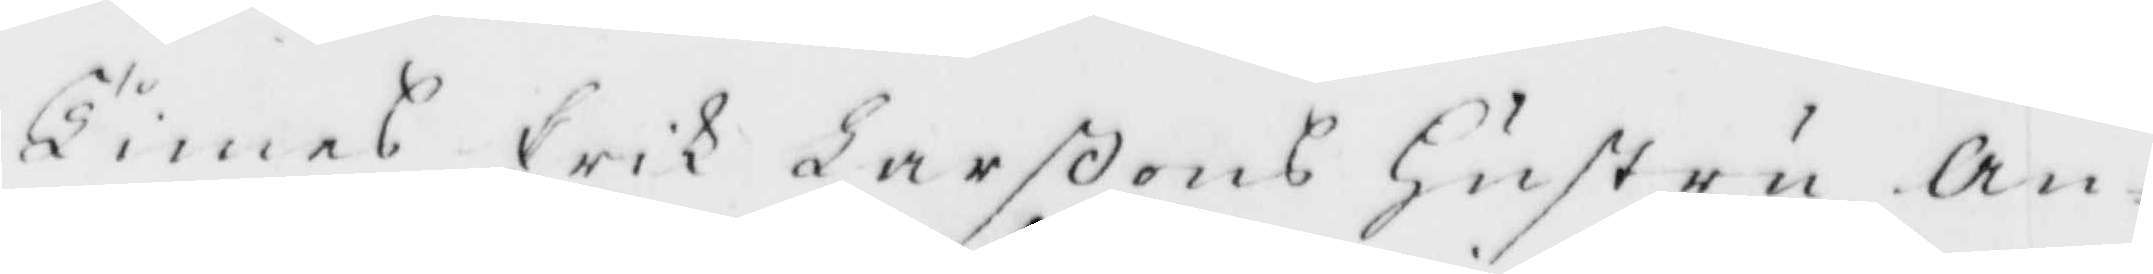Times Erik Larßons Hustru An¬
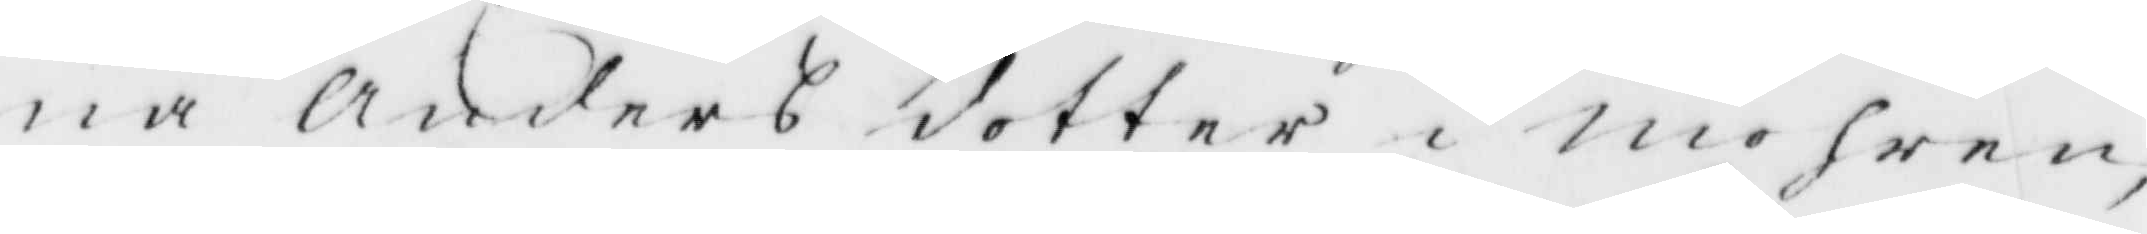na Anders dotter i Mohren,
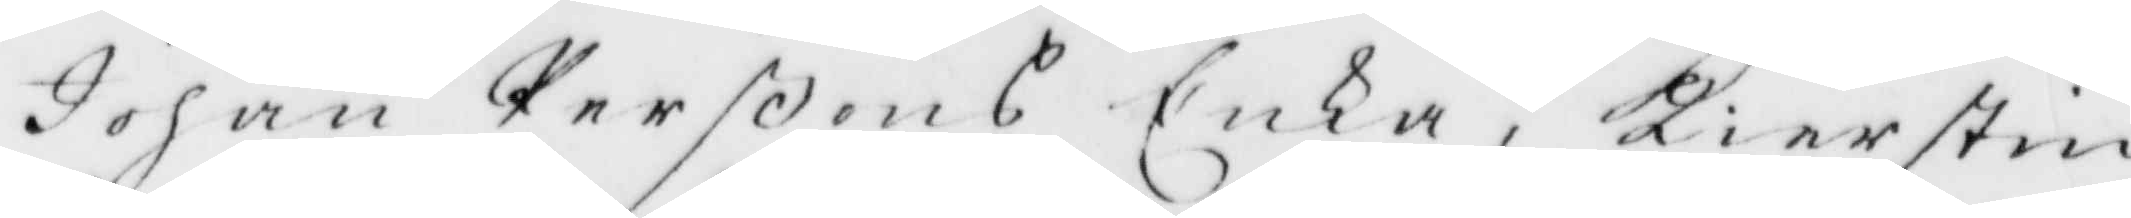Johan Perßons Enka, Kierstin
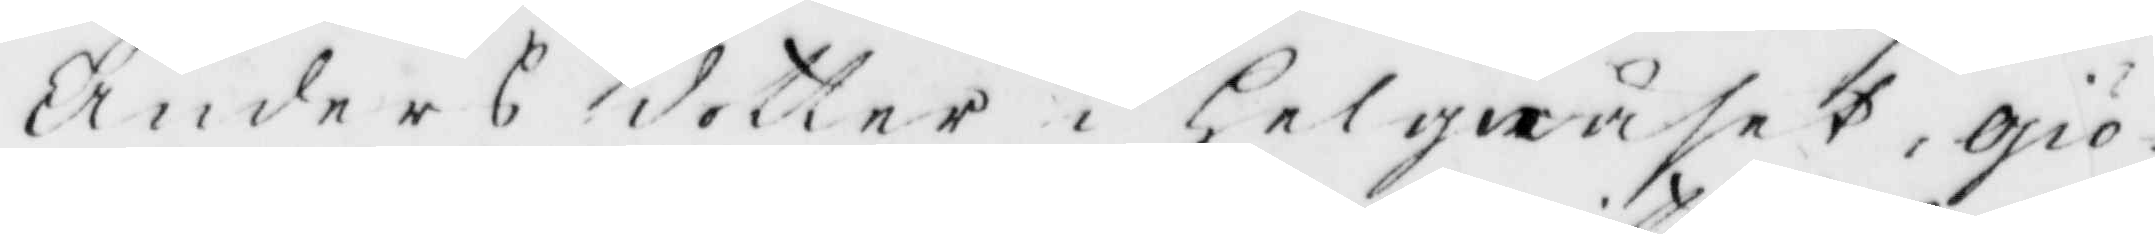Anders dotter i Helgråset, Giö¬
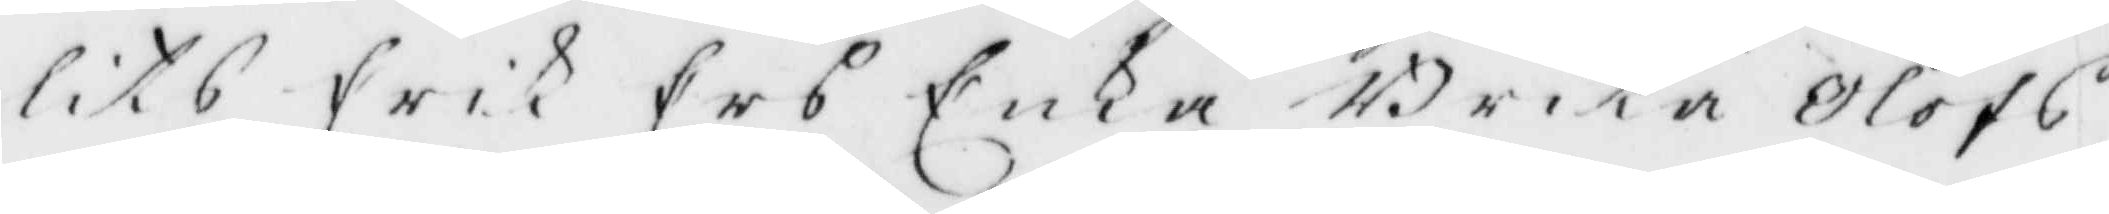lits erik Ers Enka Brita Olofs
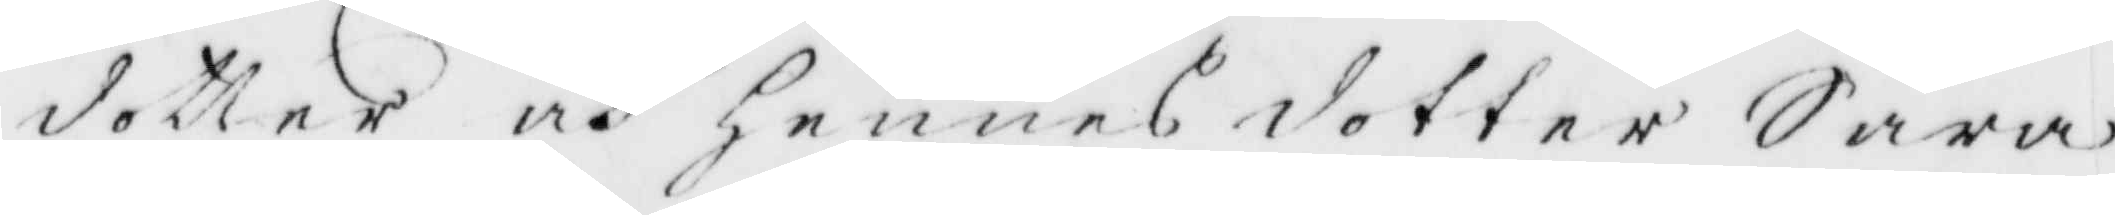dotter och Hennes dotter Sara
